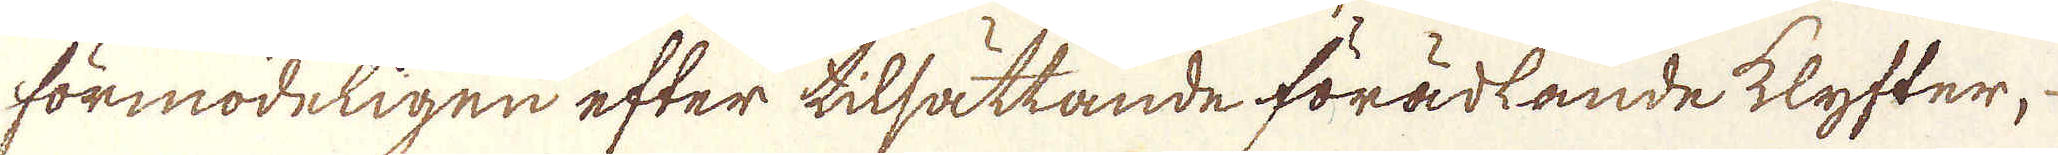förmodeligen efter tilsättande förädlande klyfter,
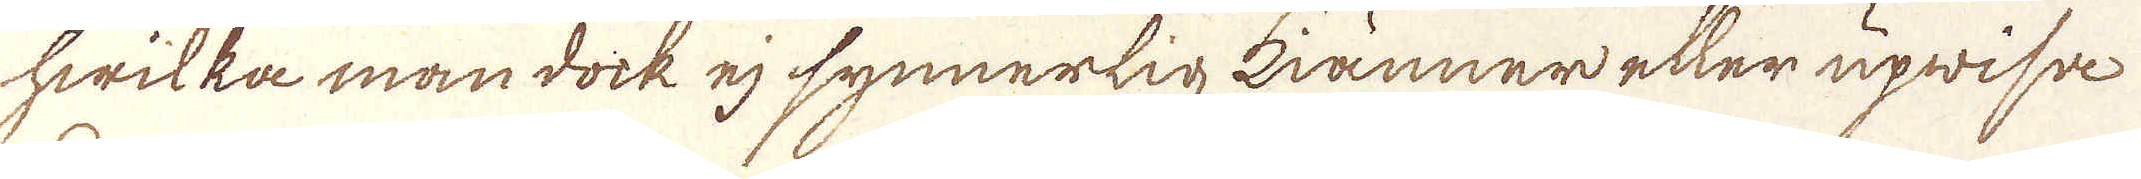hwilka man dock ej synnerlig kiänner eller upwisa
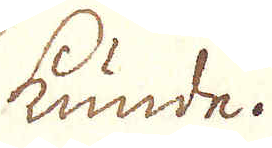kunde.
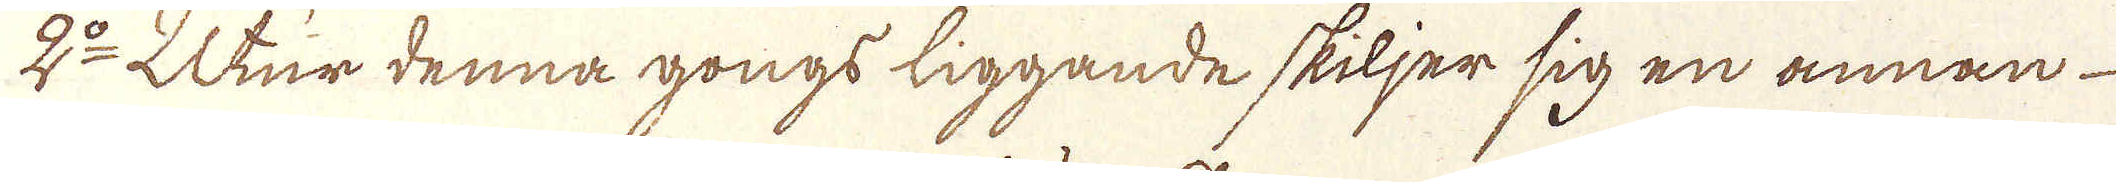2:o Utur denna gongs liggande skiljer sig en annan
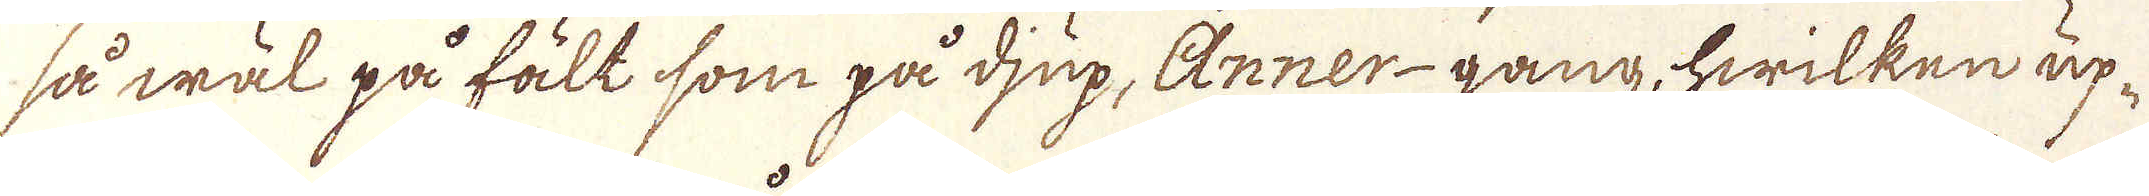så wäl på fält som på djup, Anner-gang, hwilken up-
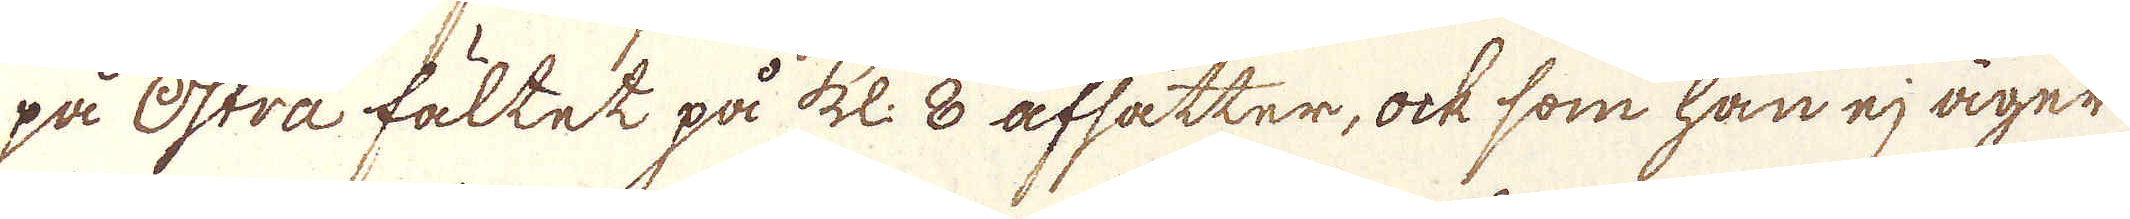på Östra fältet på kl: 8 afsätter, ock som han ej äger
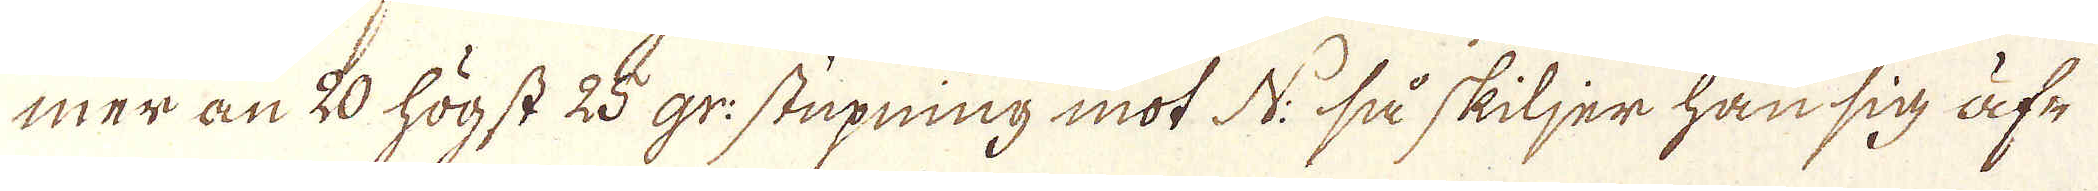mer än 20 högst 25 gr: stupning mot N: så skiljer han sig äf-
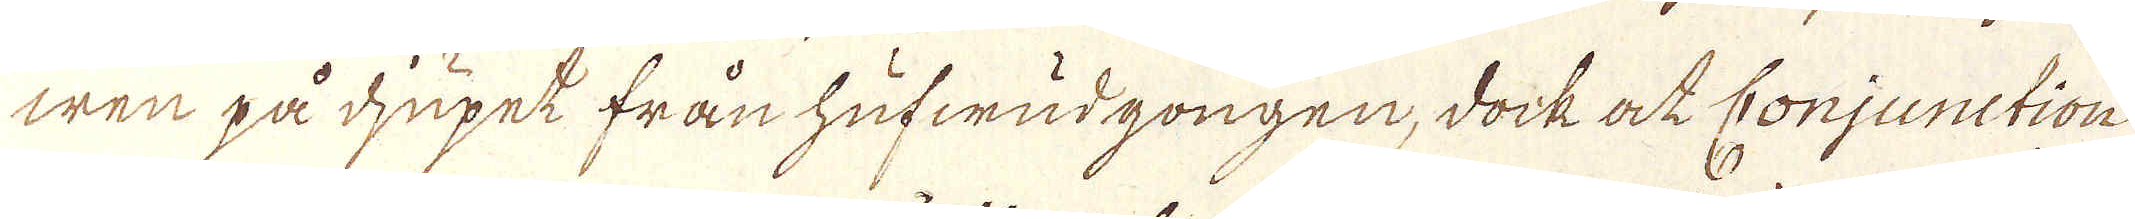wen på djupet från hufwudgongen, dock at Conjunction
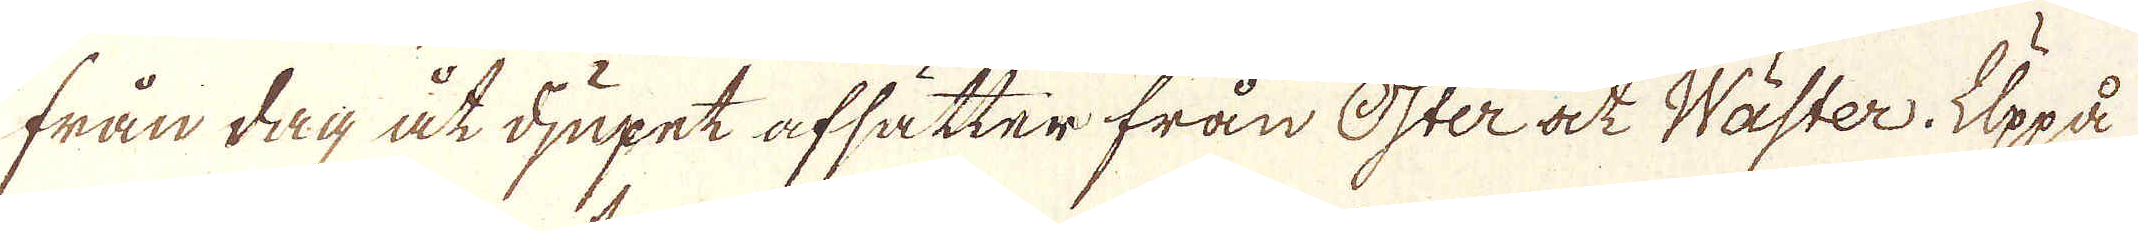från dag åt djupet afsätter från öster at Wäster. Uppå
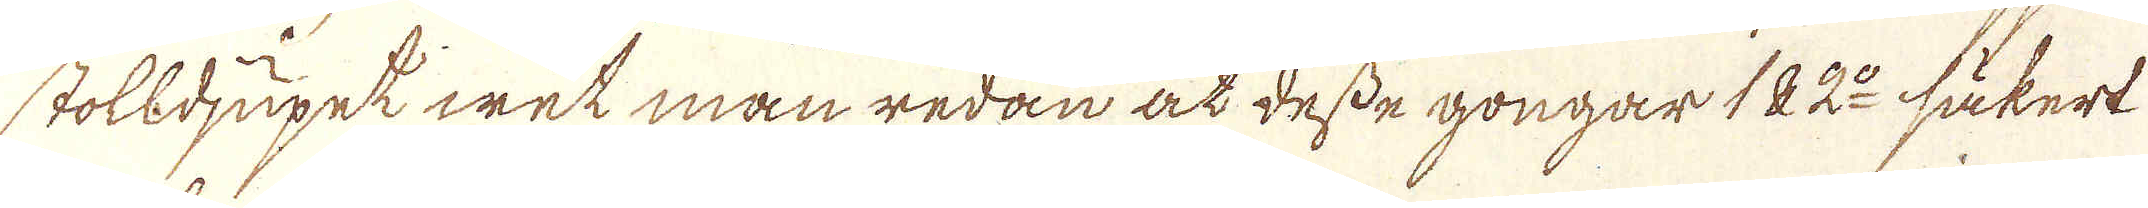stolldjupet wet man redan at desse gongar 1 & 2:o säkert
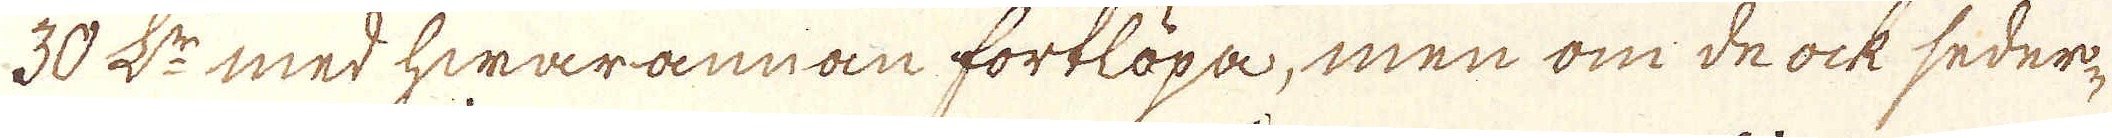30 L:r med hwarannan fortlöpa, men om de ock seder-
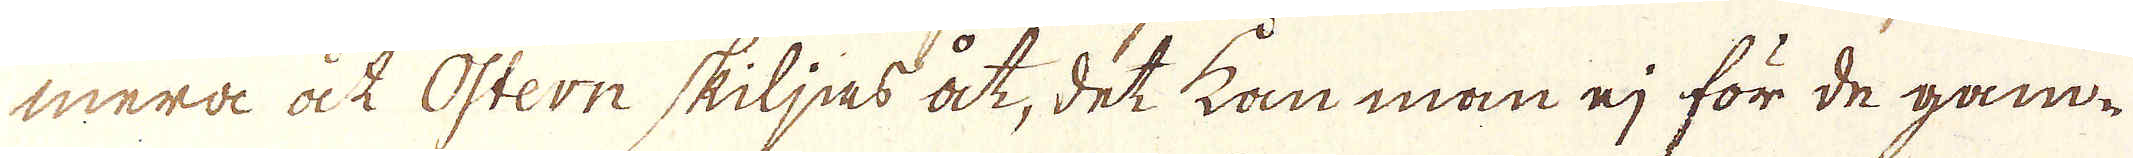mera ock Östern skiljas åt, det kan man ej för de gam-
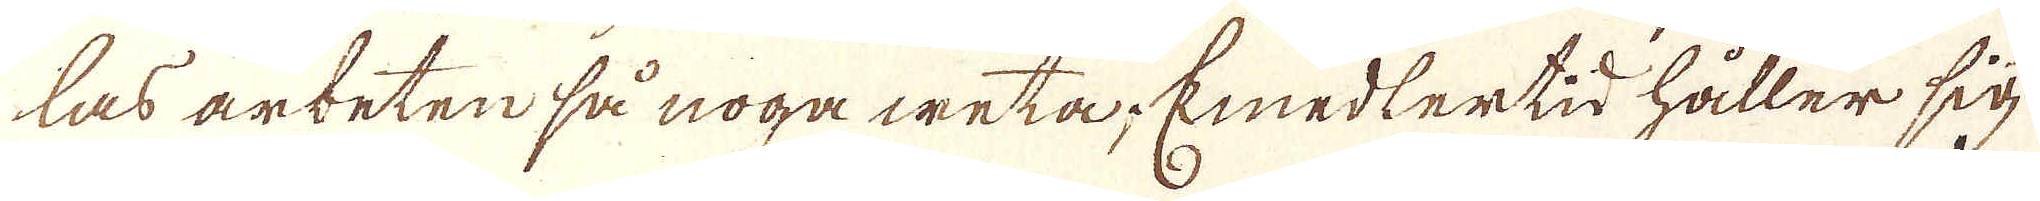las arbeten så noga weta. Emedlertid håller sig
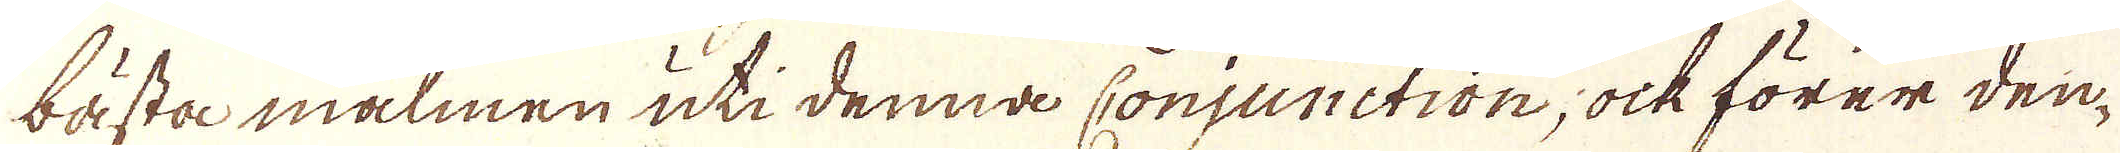bästa malmen uti denna conjunction, ock förer den-
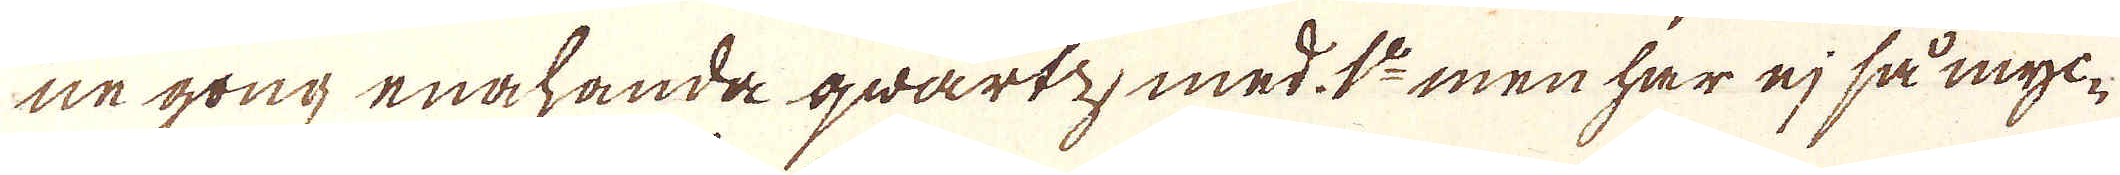ne gong enahanda qwartz, med 1:o men har ej så myc-
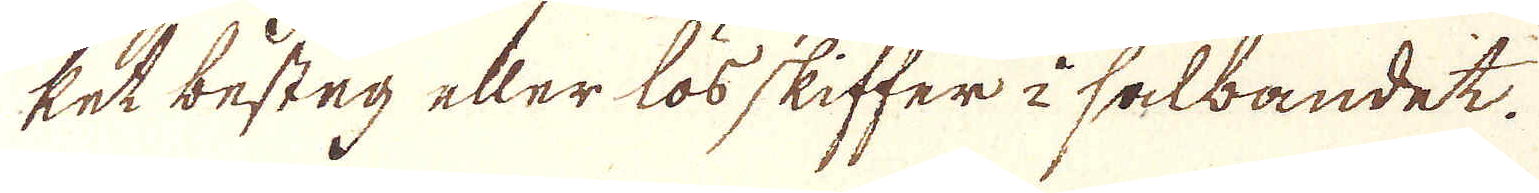ket besten eller lös skiffer i salbandet.
